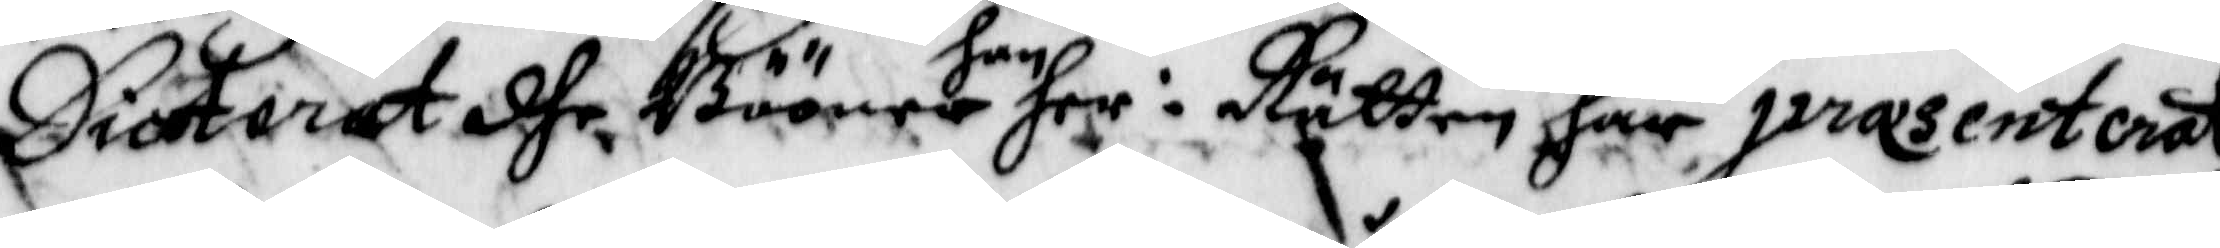Dicterat dhe Bööner han her i Rätten har prasenterat,
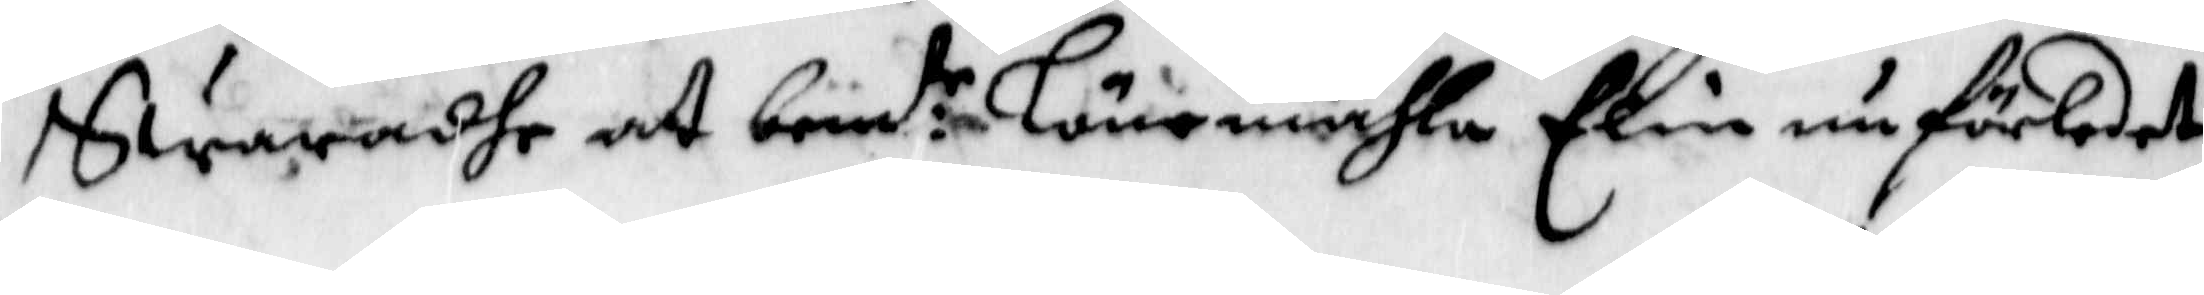Swaradhe at bemd:te Lönemåhla Elin nu förledet
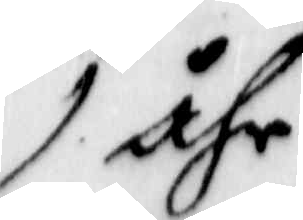åhr
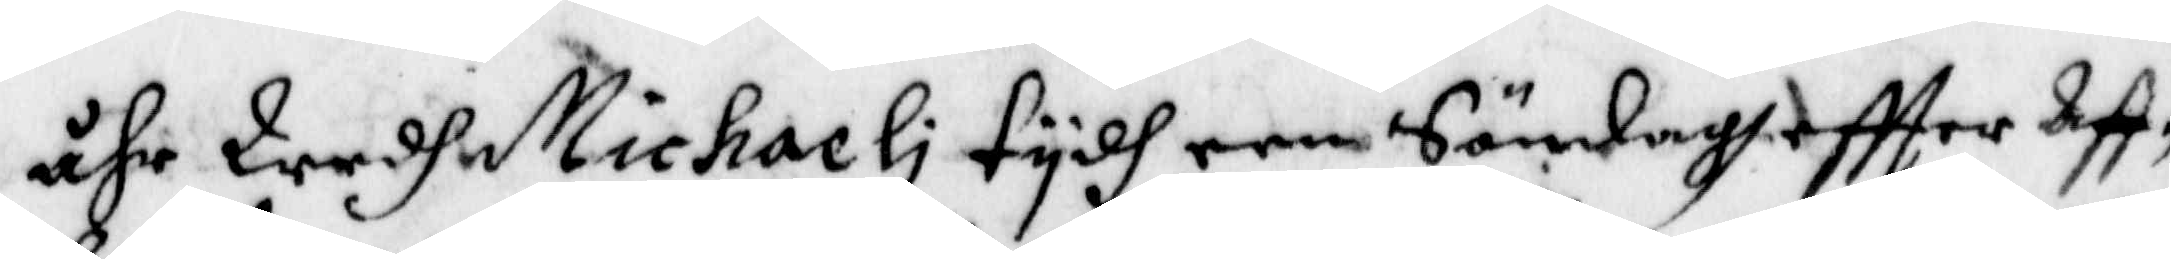åhr Wedh Michaeli tydh een Söndagh eftter Aff¬
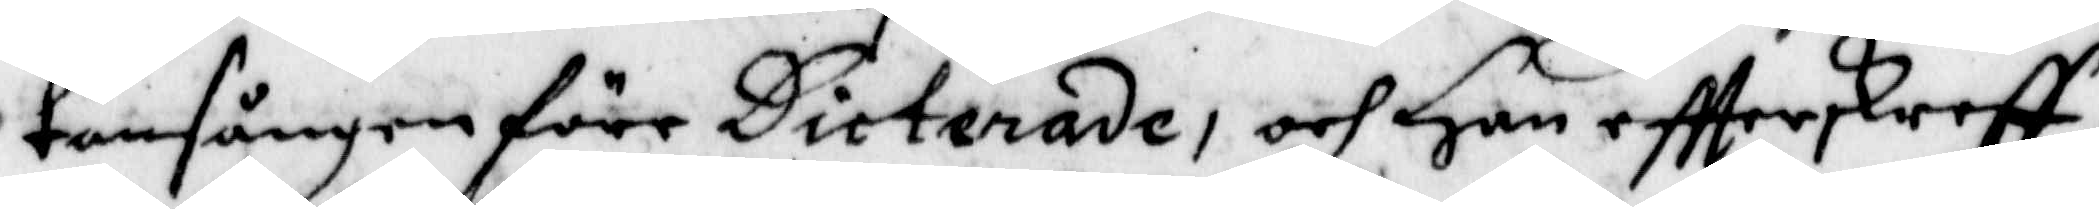tonsången förr Dicterade, och Han eftter skreff,
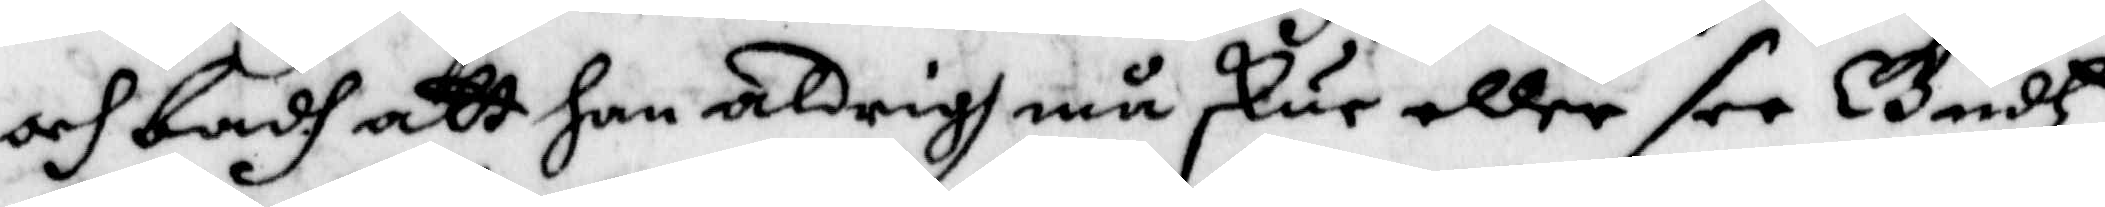och badh att hon aldrigh må skur eller see Gudtz
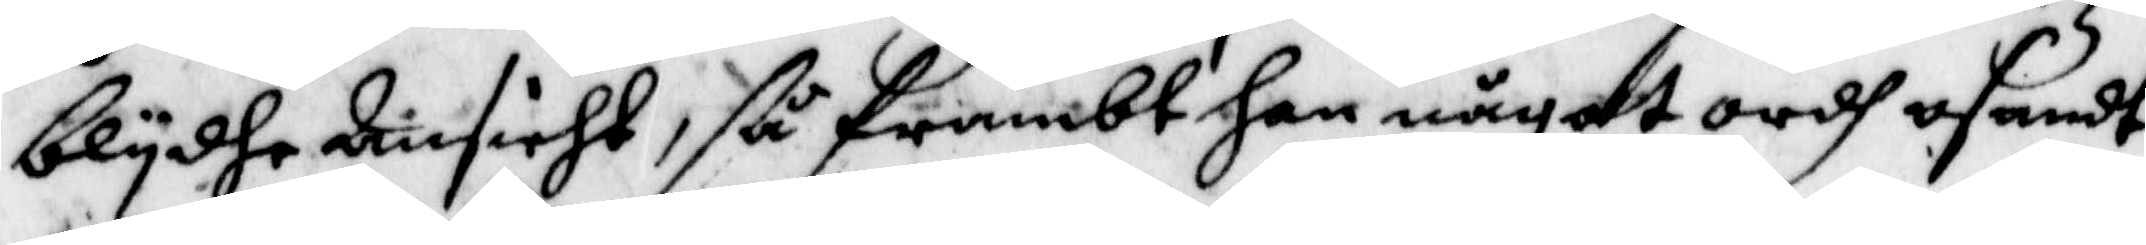blydhe Ansicht, så frambt han något ordh osandt
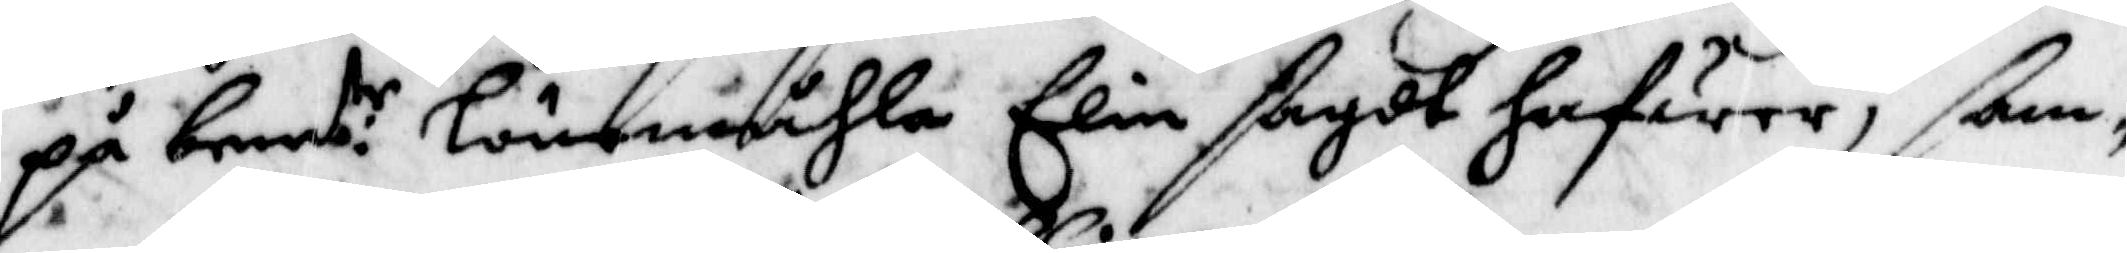på bem:te Lönemåhla Elin sagdt hafwer; sam¬
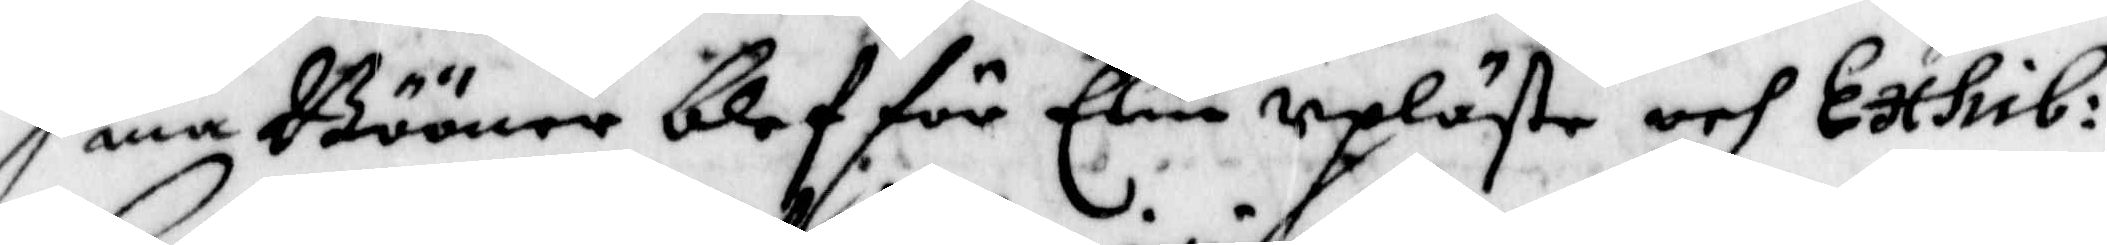ma Bööner blef för Elin upläste och Exhib:
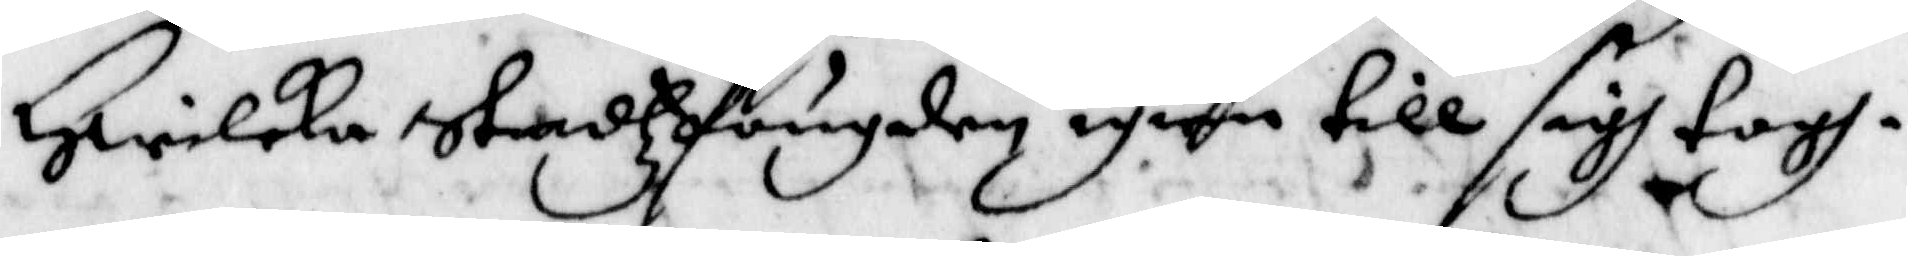Hwilka stadzfougden igien till sigh togh.
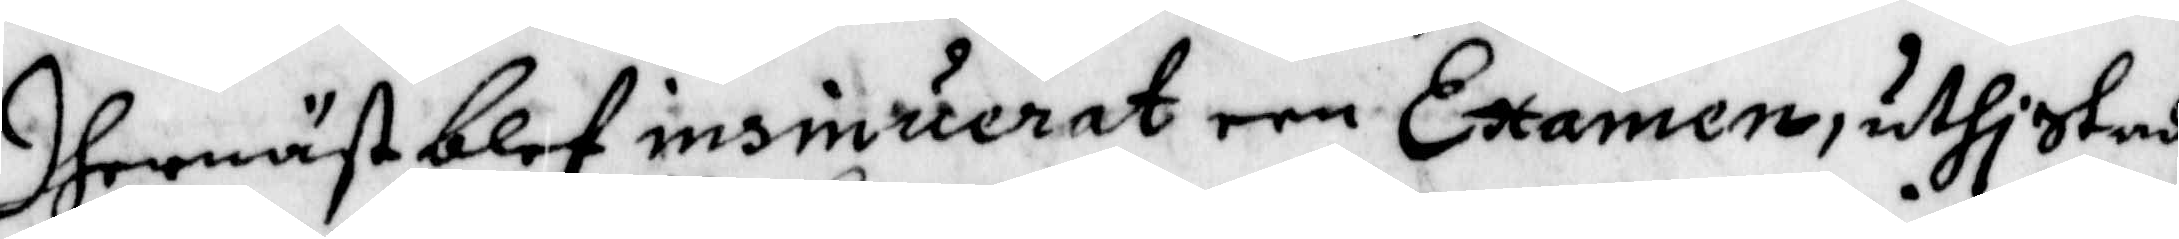Dhernäst blef insinuerat een Examnen, uthi stadz¬
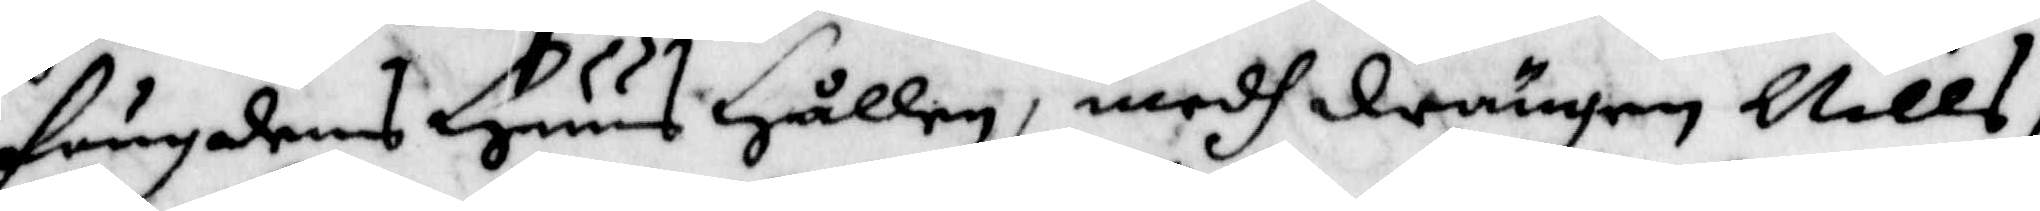fougdhens Huus Hållen, medh drängen Nills
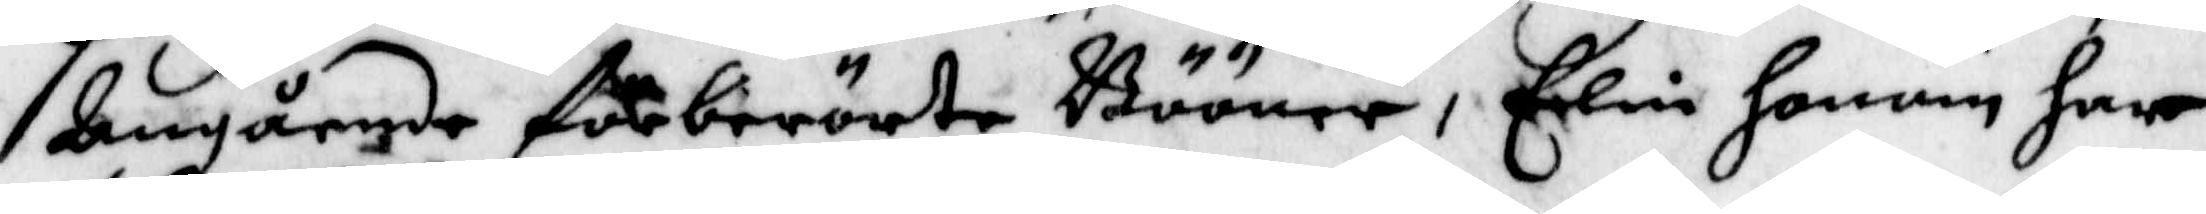Angående förberörte Bööner,, Elin honom har
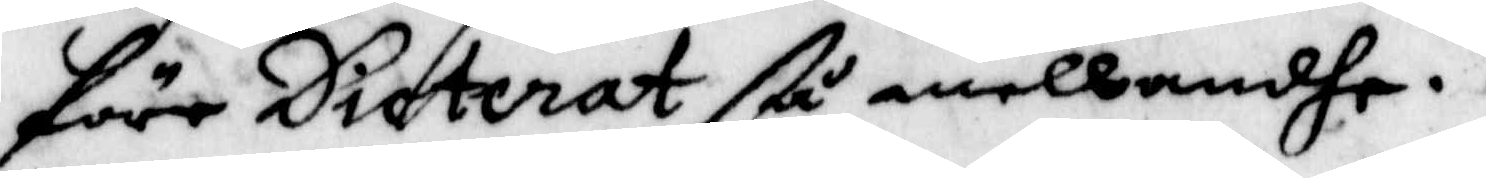före Dicterat så anellandhe.
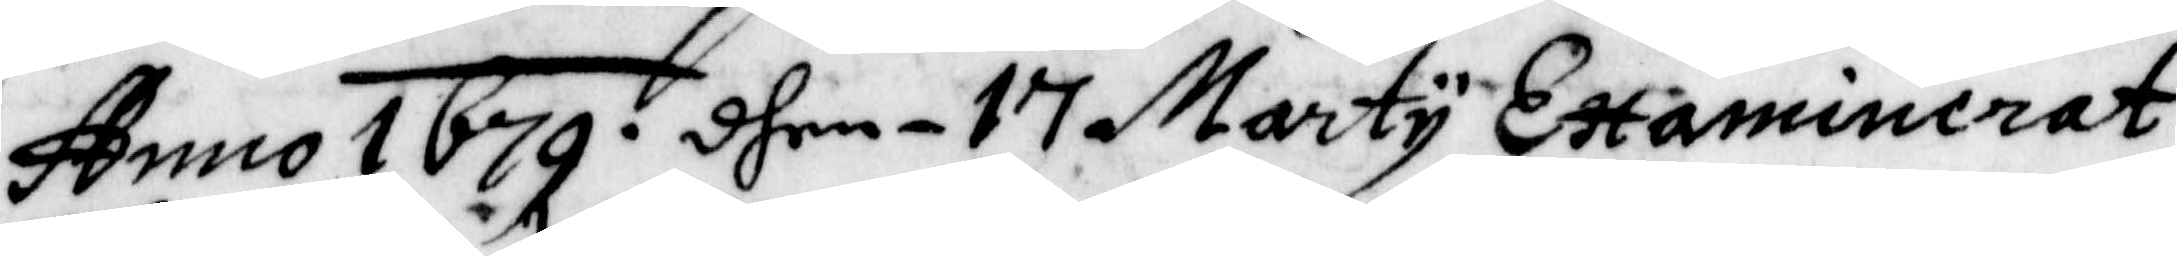Anno 1679. dhen - 17 Marty Examinerat
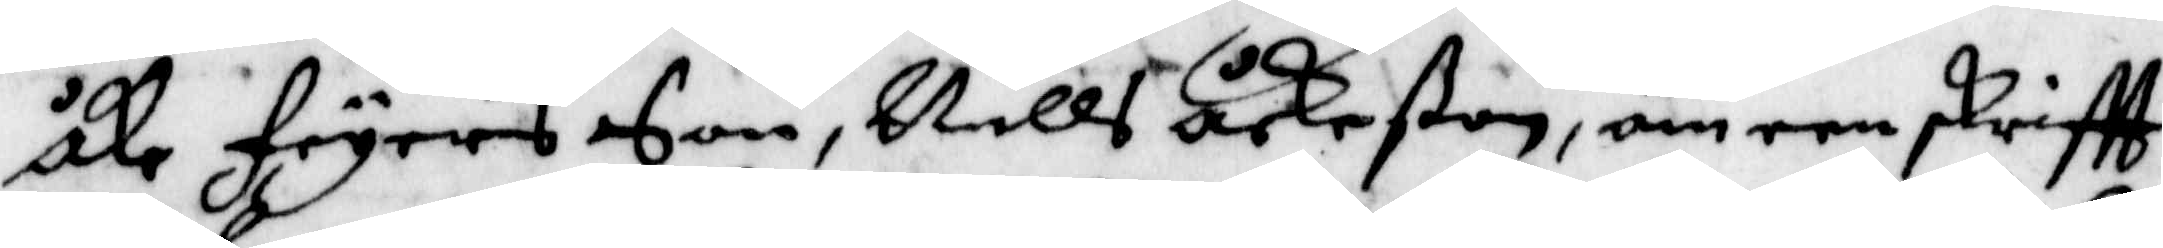Åke Fryers Son, Nills Åkeßon, om een skriftt
